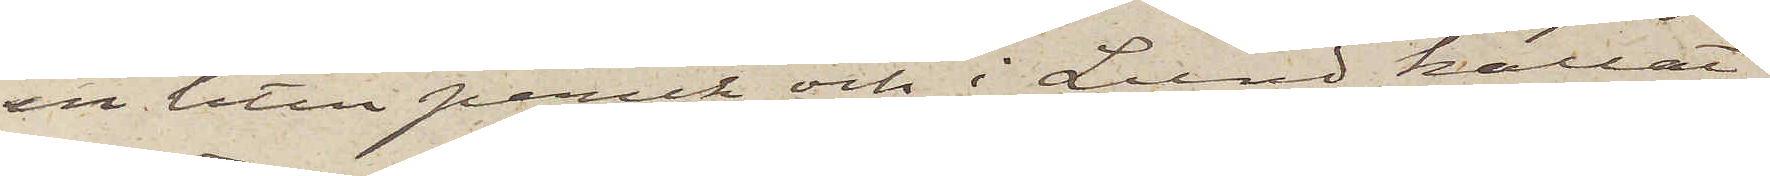en liten peruk och i Lund kallat
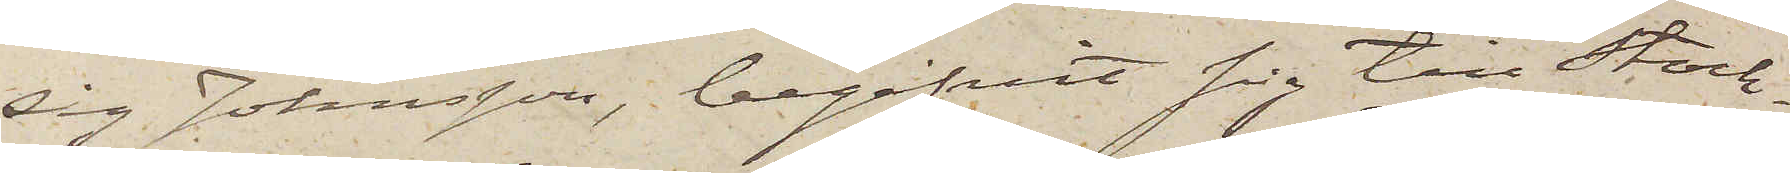sig Johnsson, begifvit sig till Stock¬
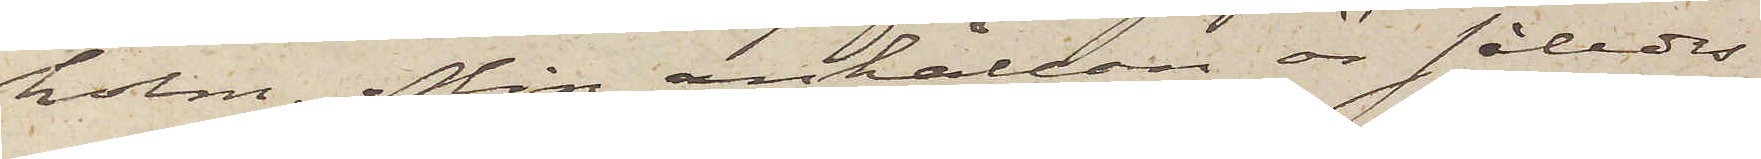holm. Min anhållan är således
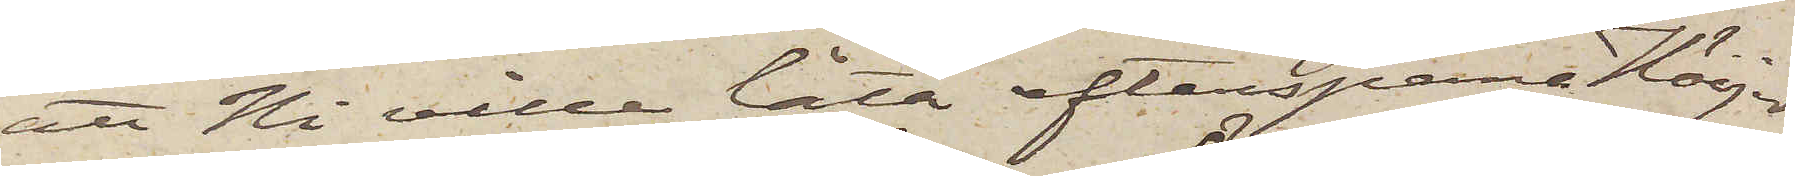att Ni ville låta efterspana Höijer
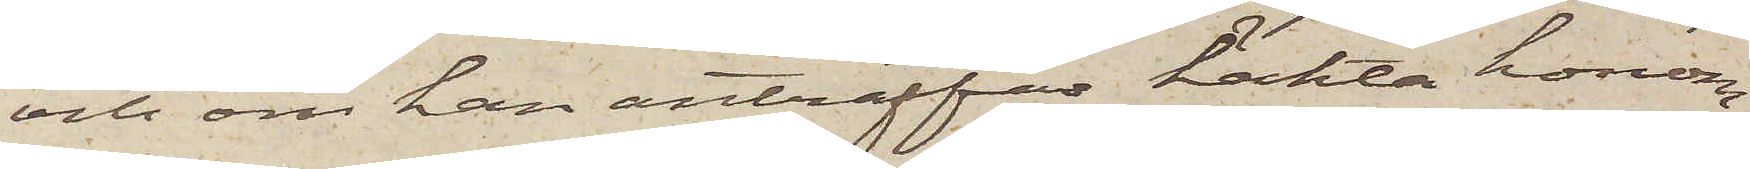och om han anträffas häkta honom.
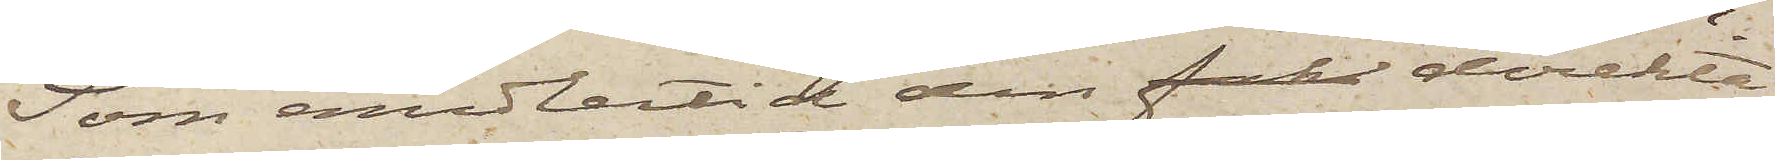Som emedlertid den fak direkta
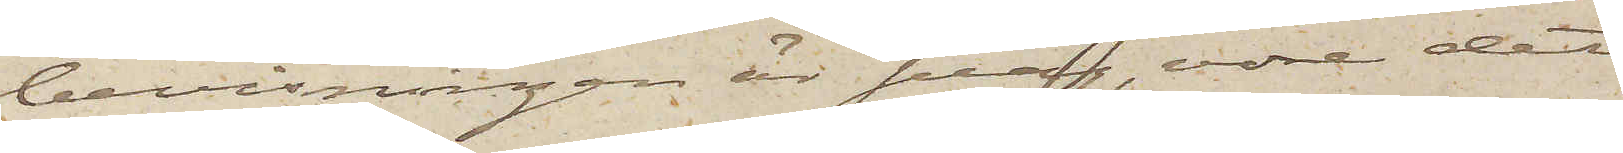bevisningen är svag, vore det
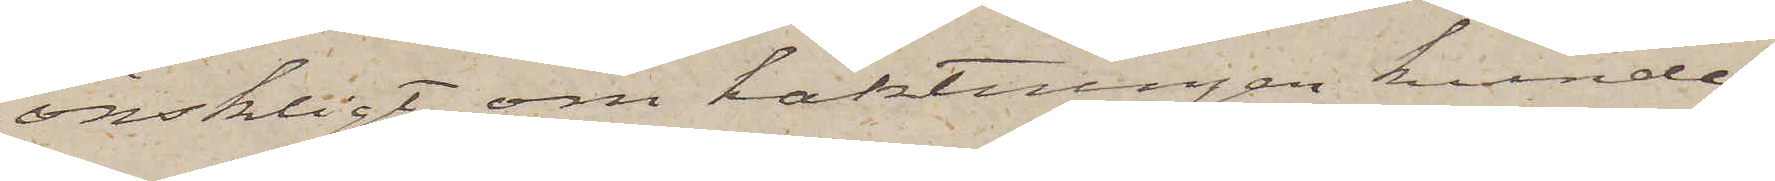önskligt, om häktningen kunde
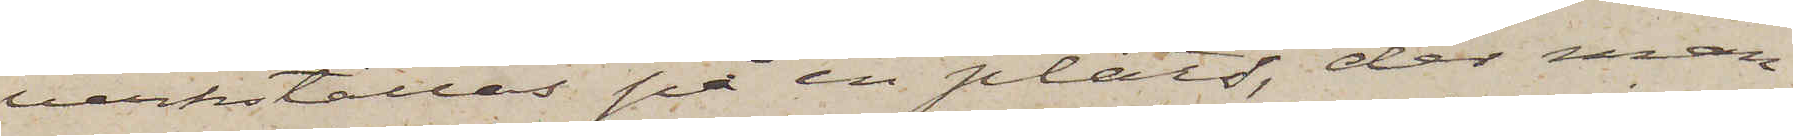verkställes på en plats, der man
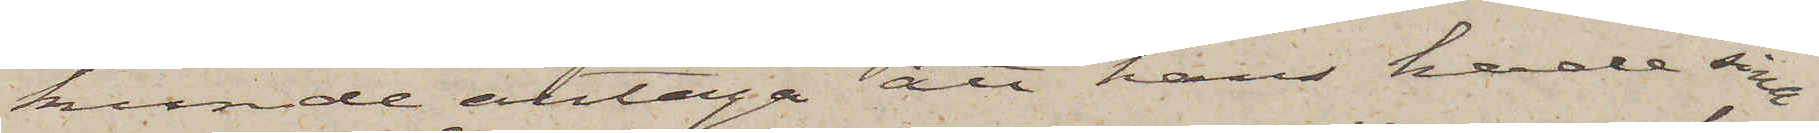kunde antaga att han hade sina
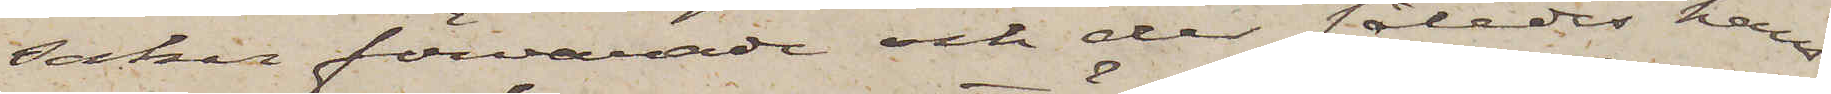saker förvarade och der således hans
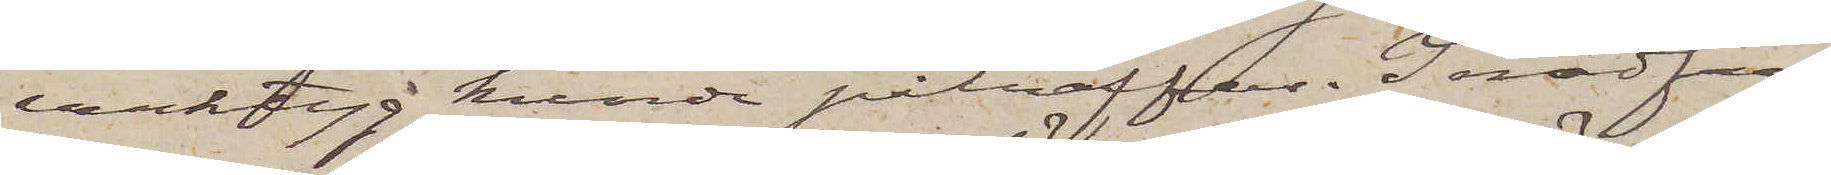verktyg kunde påträffas. I nödfall
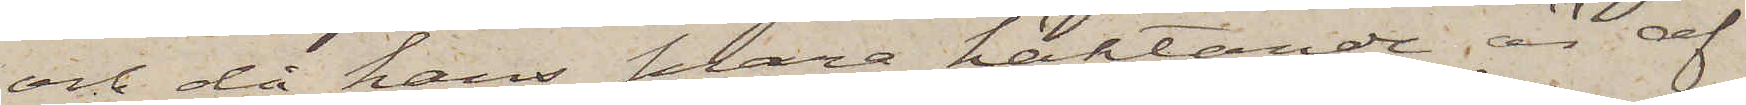och då hans snara häktande är af
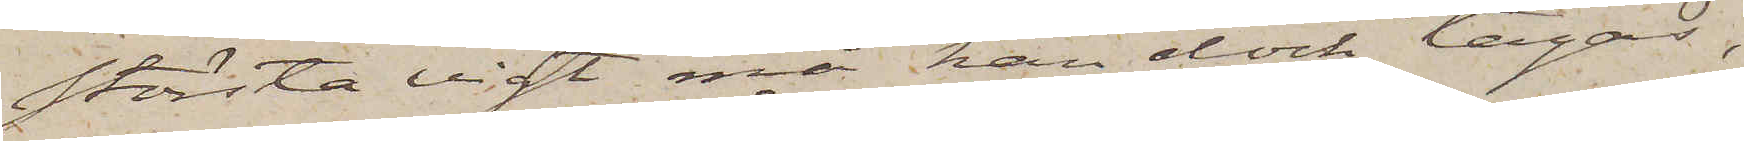största vigt må han dock tagas,
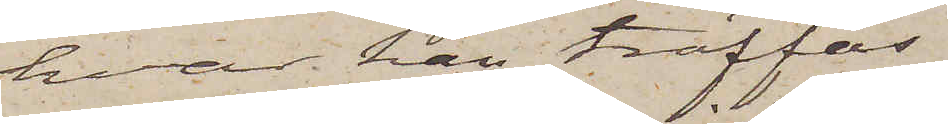hvar han träffas.
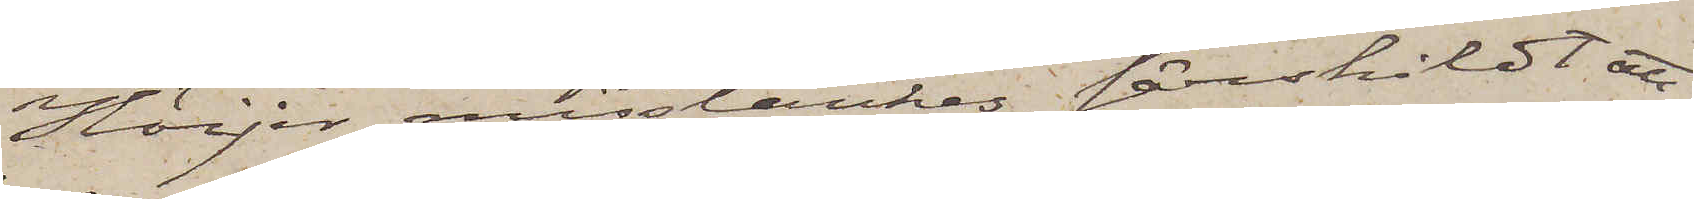Höijer misstänkes särskildt att
